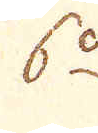6:o
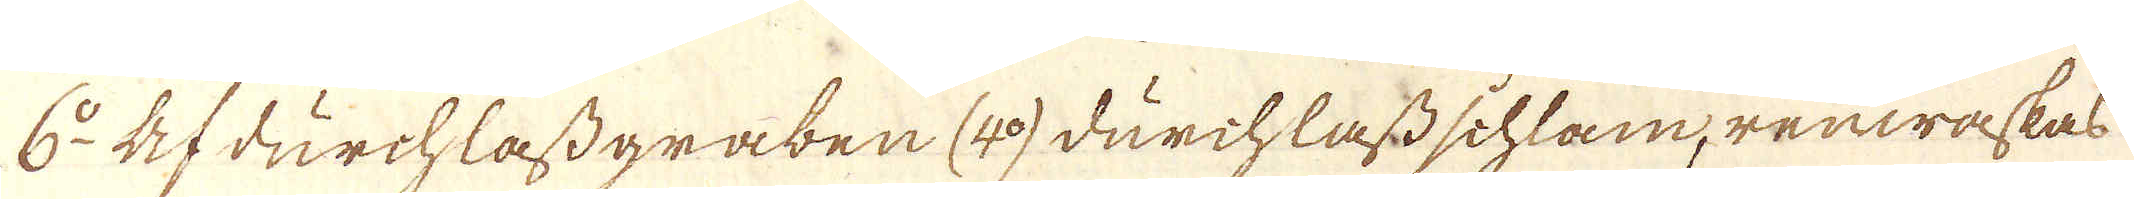6:o Afdürchlaßgraben (4:o) dürchlaßschlam, renwäskas
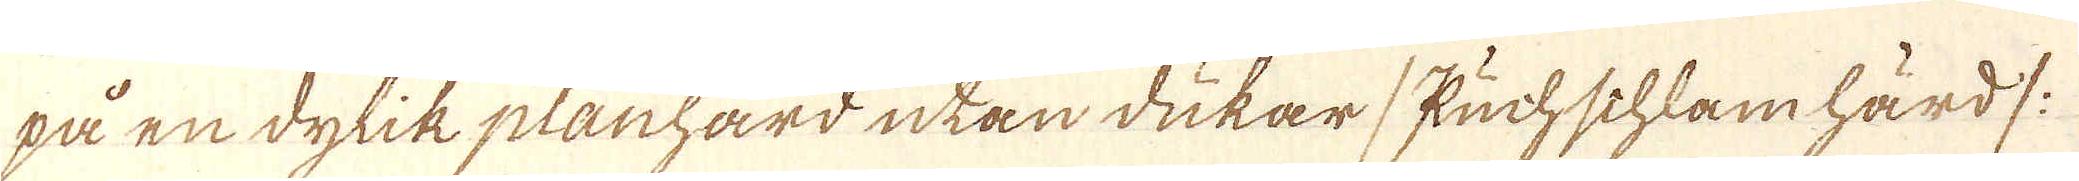på en dylik planhärd utan dukar /Kuchschlamhärd /:
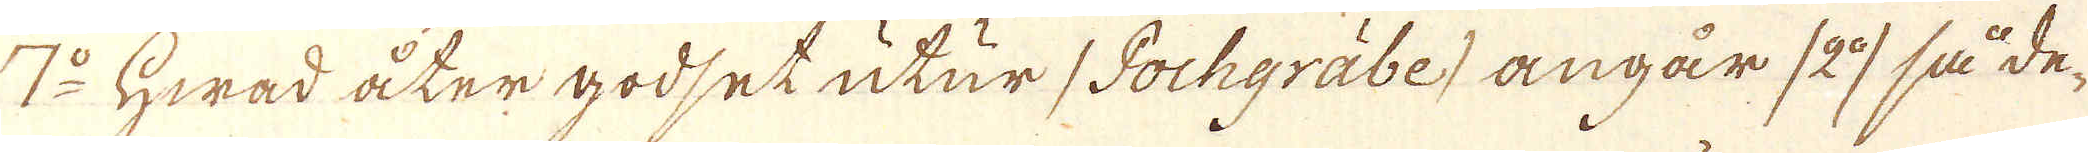7:o Hwad åter godset utur /Pochgräbe/ angår /2:o/ så de-
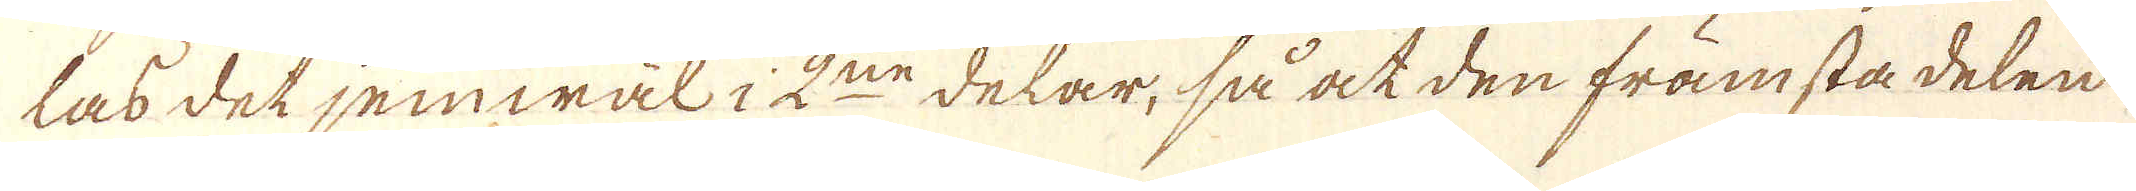las det jemwäl i 2:ne delar, så at den främsta delen
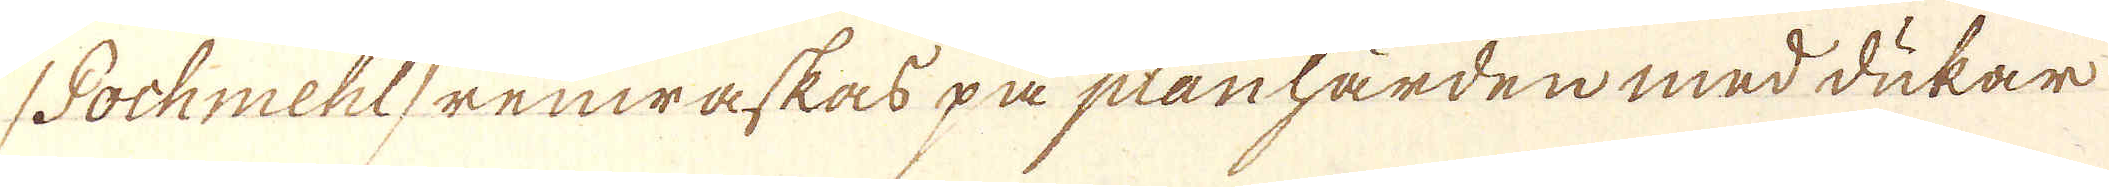/Pochmehl/ renwaskas på planhärden med dukar
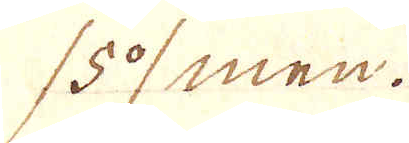/5:o/ men.
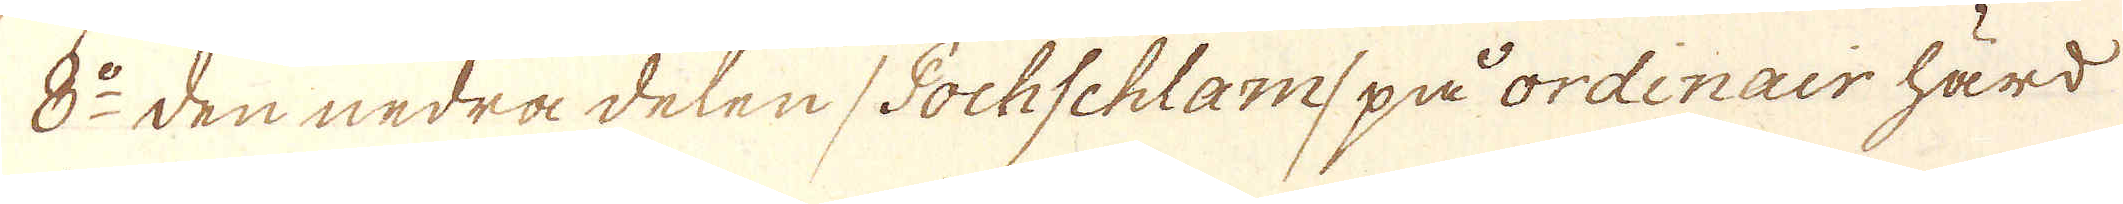8:o den nedra delen /Pochschlam/ på ordinair härd
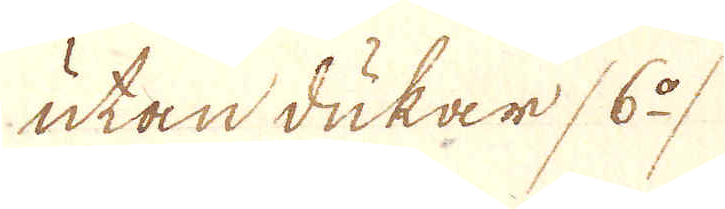utan dukar /6:o/
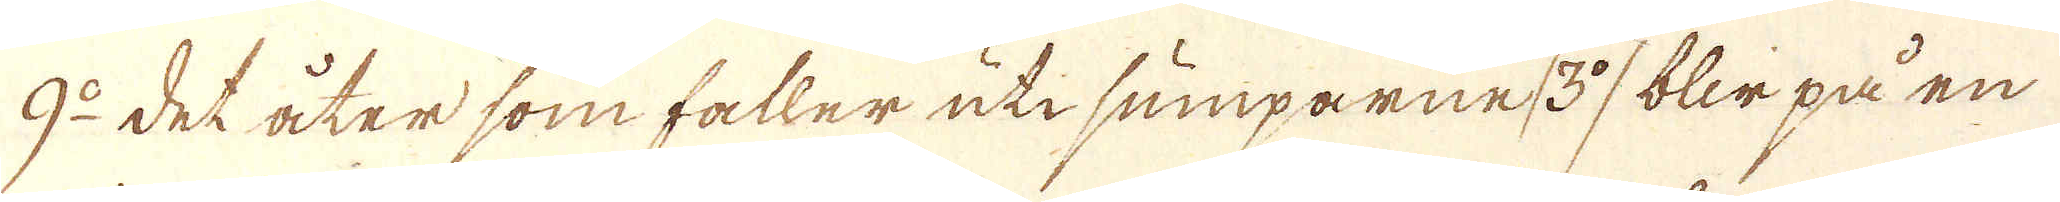9:o det åter som faller uti sumparne /3:o/ blir på en
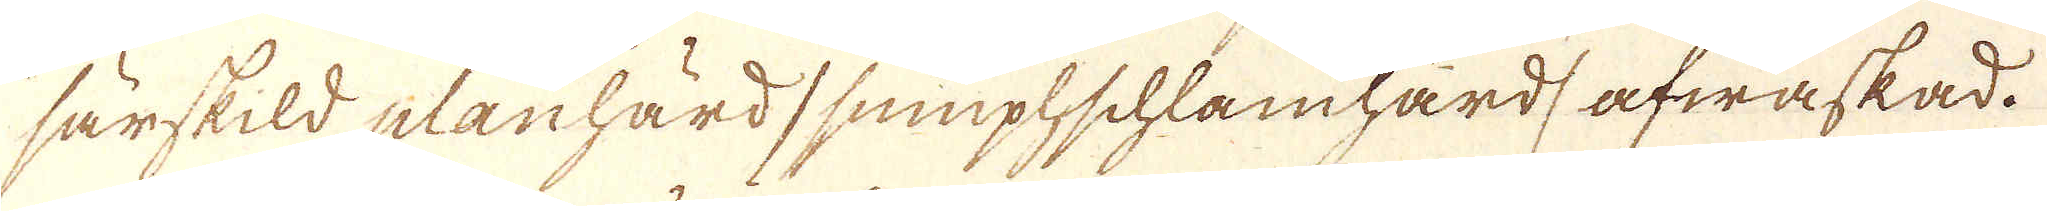särskild planhärd / sumplschlamhärd, afwaskad.
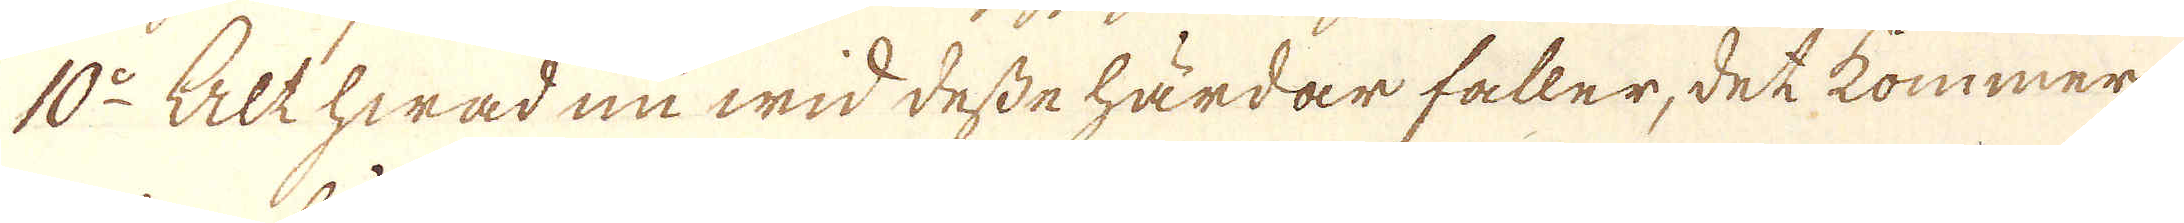10:o Alt hwad nu wid desse härdar faller, det kommer
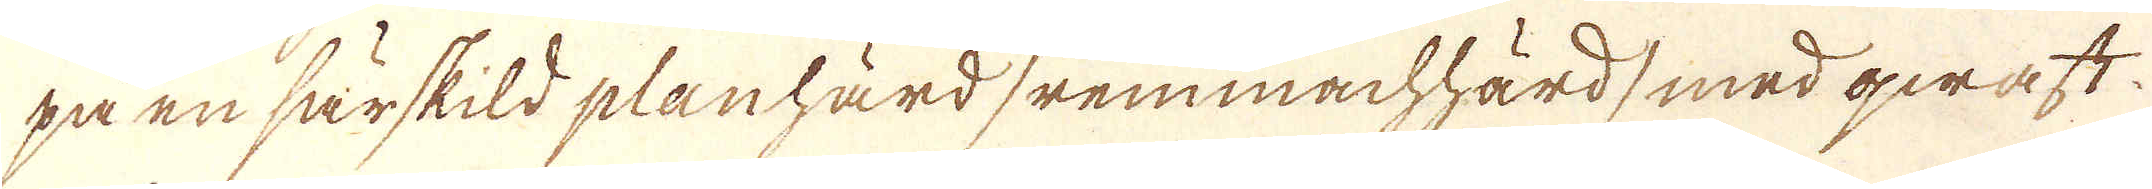på en särskild planhärd /remmachhärd/ med qwaft
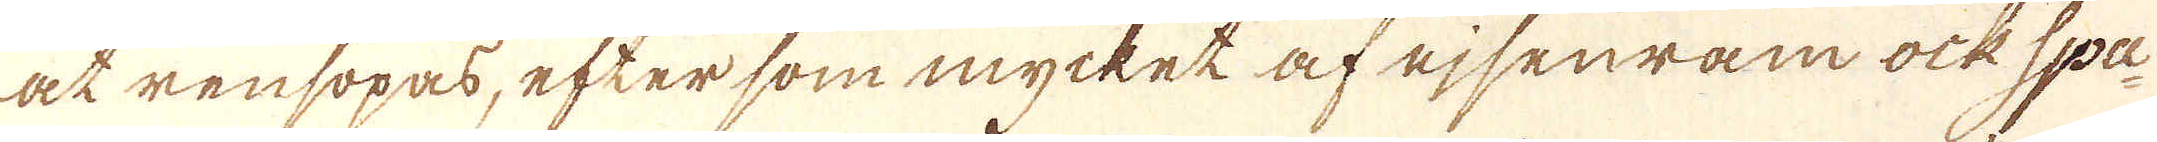at rensopas, eftersom mycket af ejsenram ock Spa-
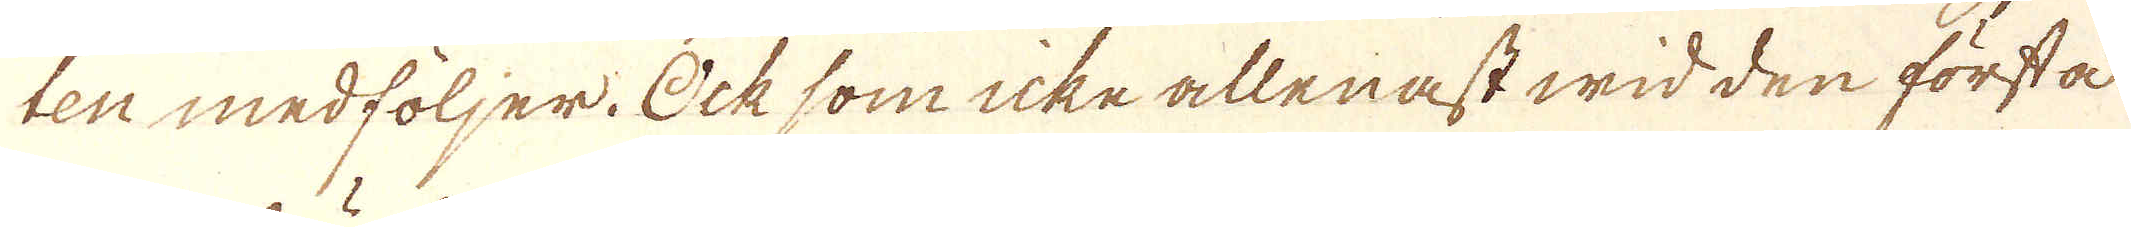ten medföljer. Ocksom icke allenast wid den första
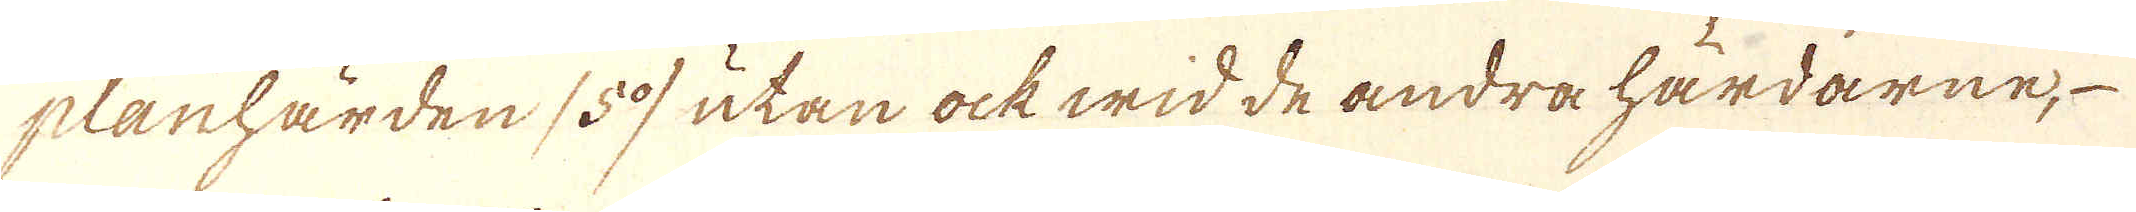planhärden /5:o/ utan ock wid de andra härdarne,
